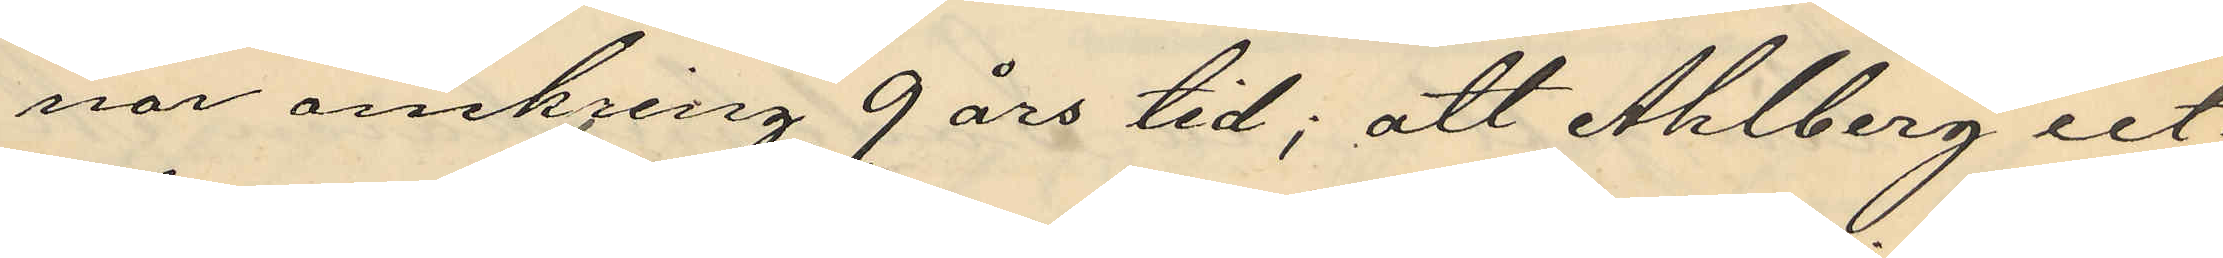nor omkring 9 års tid; att Ahlberg ut¬
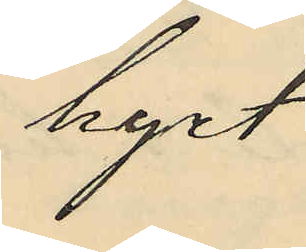hyrt
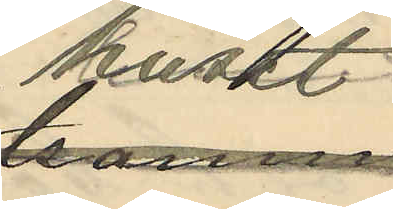huset
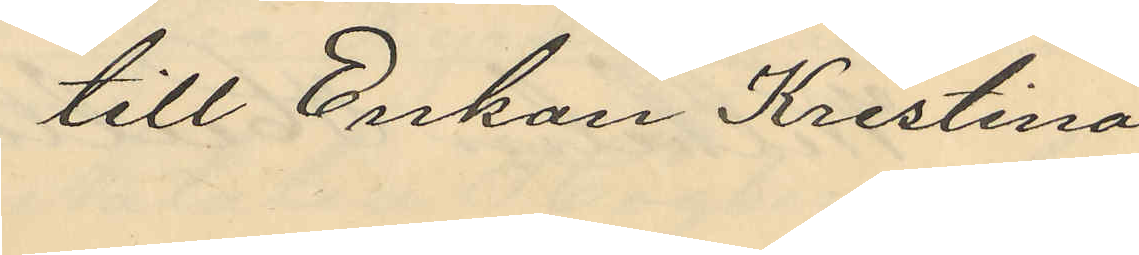till Enkan Kristina
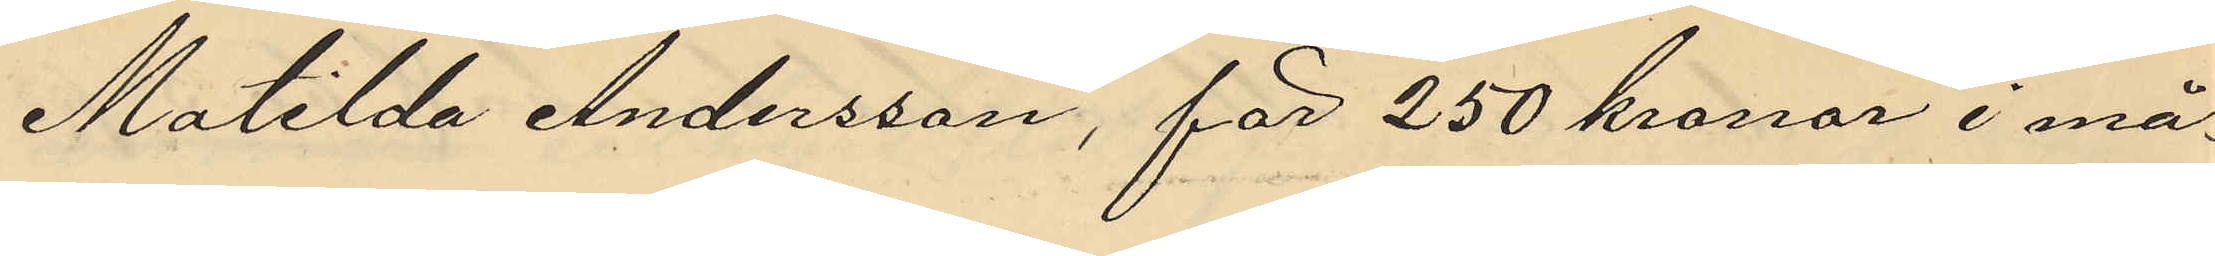Matilda Andersson, för 250 kronor i må¬
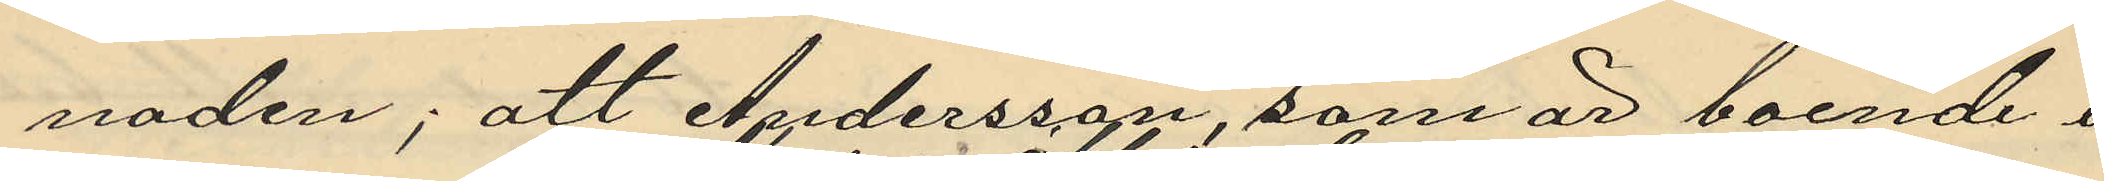naden; att Andersson, som är boende i
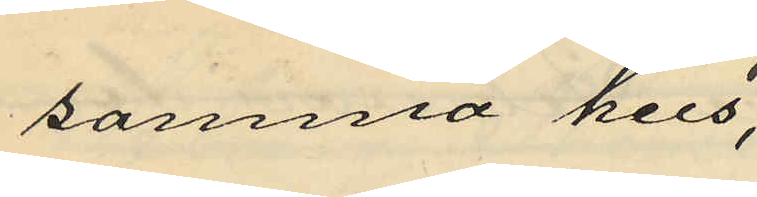samma hus,
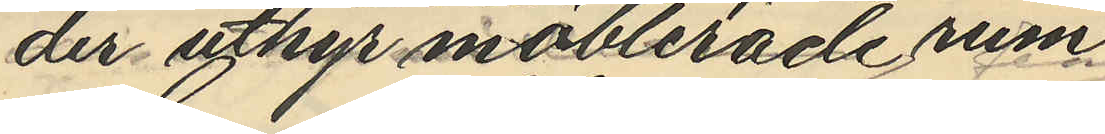der uthyr möblerade rum
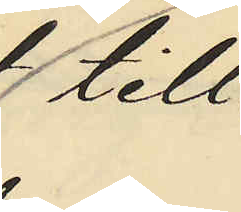till
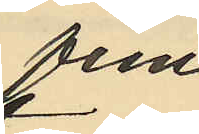fem
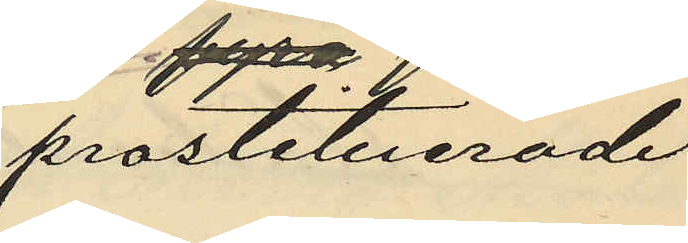prostituerade
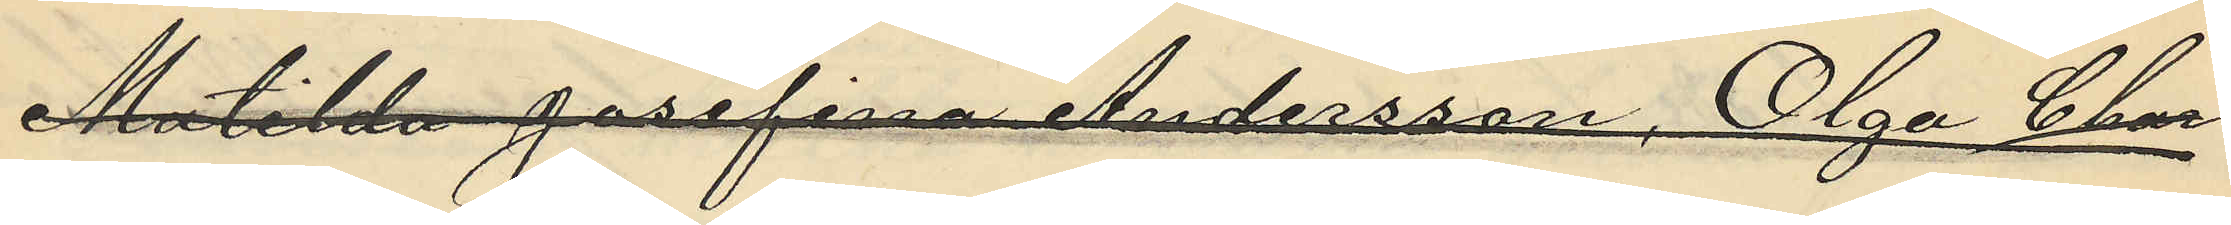Matilda Josefina Andersson, Olga Char¬
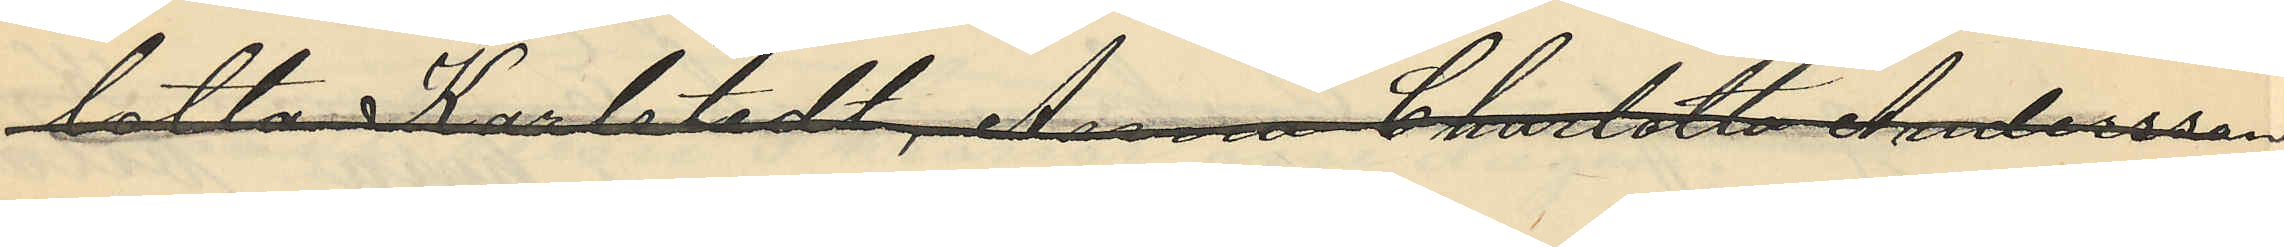lotta Karlstedt, Anna Charlotta Andersson,
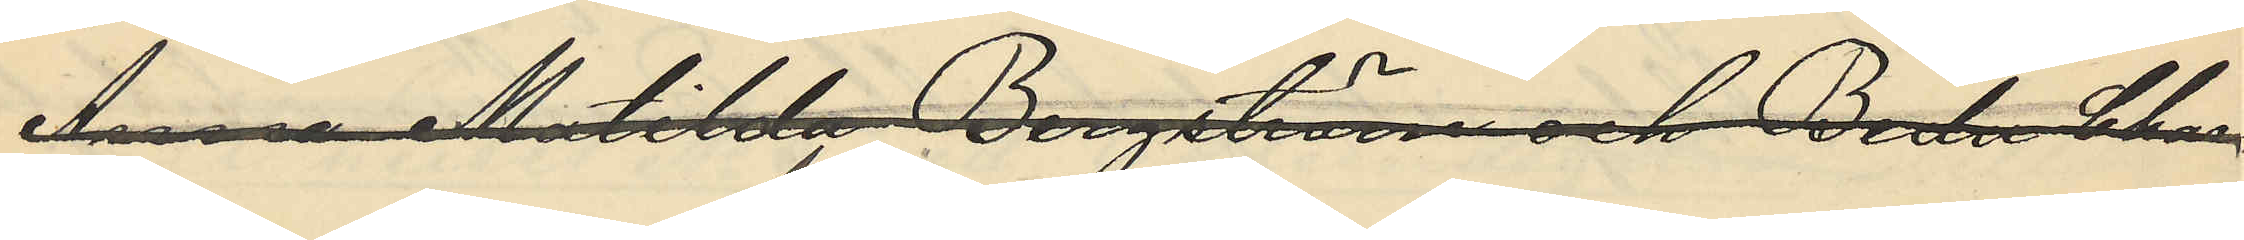Anna Matilda Bergström och Berta Char¬
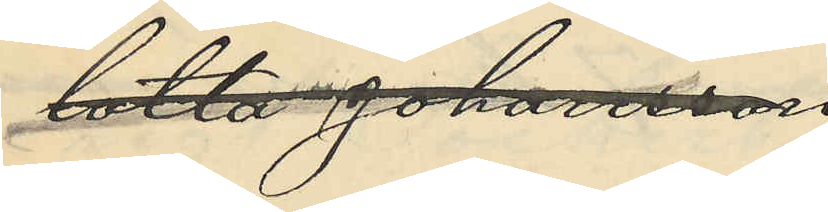lotta Johansson
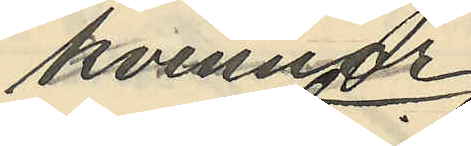kvinnor
